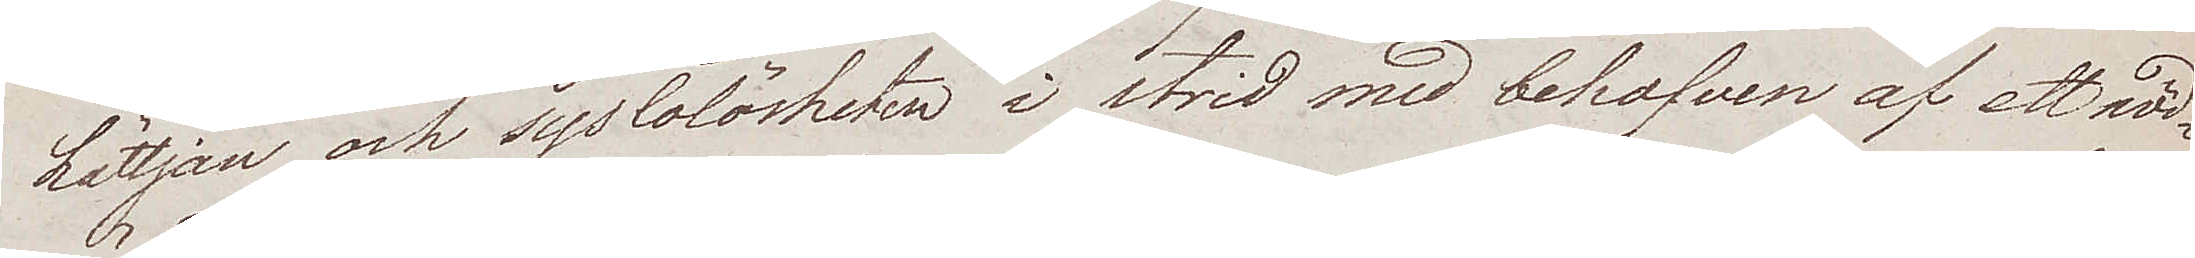Lättjan och syslolösheten i strid med behofven af ett nöd¬
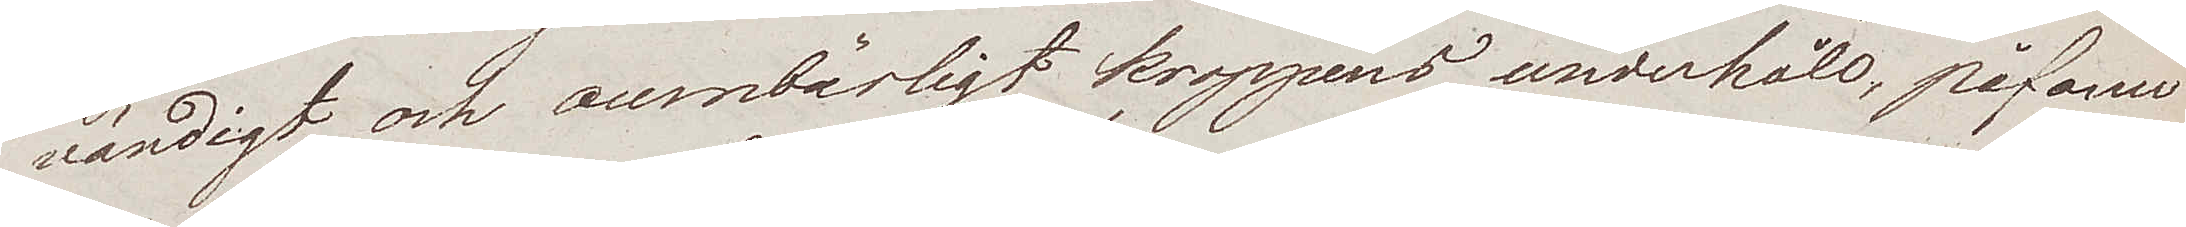vändigt och oumbärligt kroppens underhåll, påfann
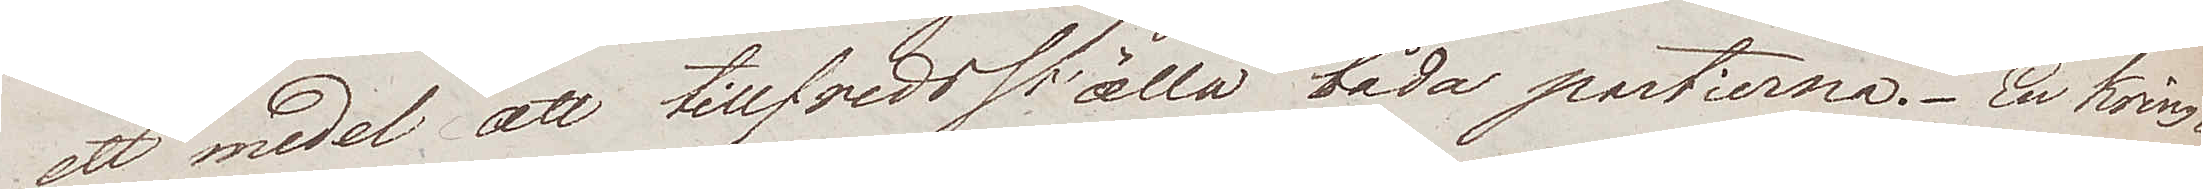att medel att tillfredställa båda partierna. En kring¬
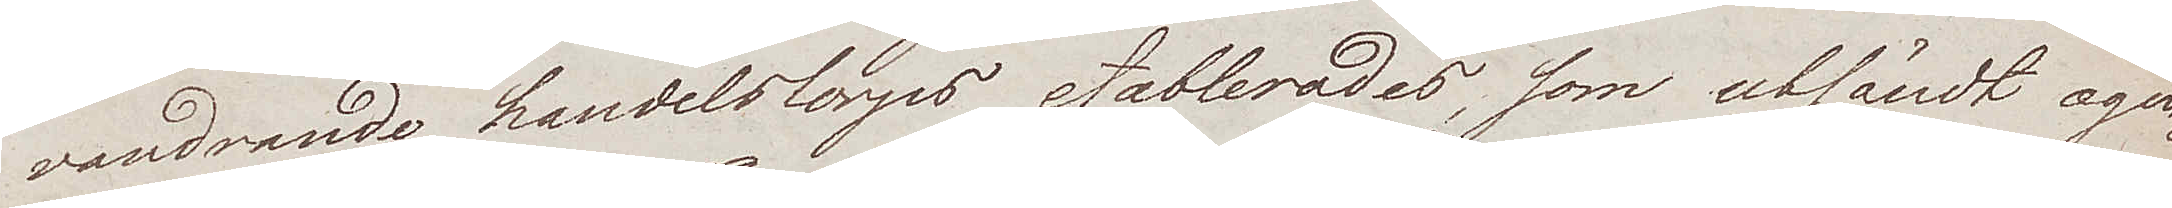vandrande handelsCorps etablerades, som utsändt ager¬
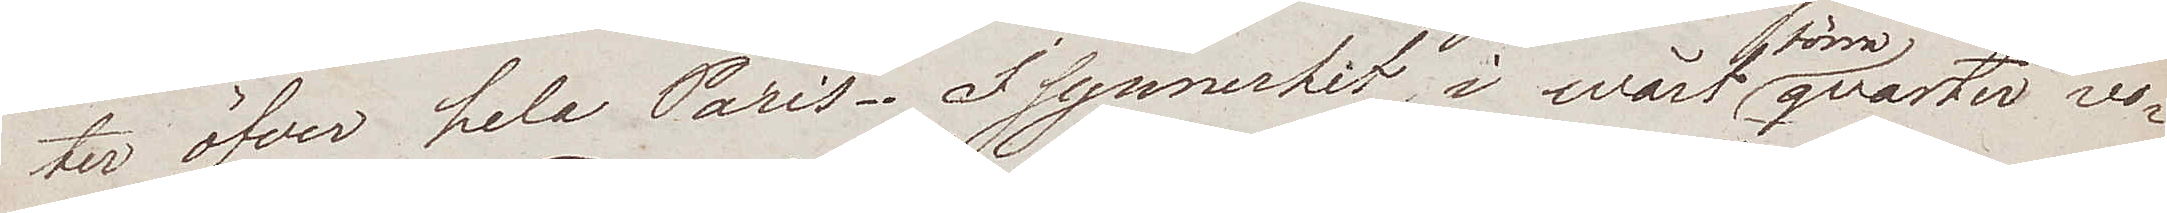ter öfver hela Paris. I synnerhet i wårt förra qvarter vo¬
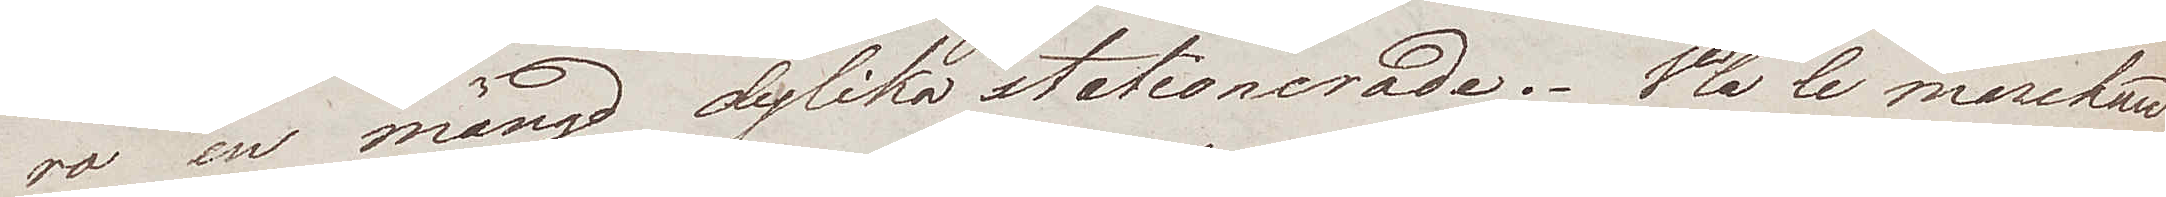ro en mängd dylika stationerade. V'la le marchard
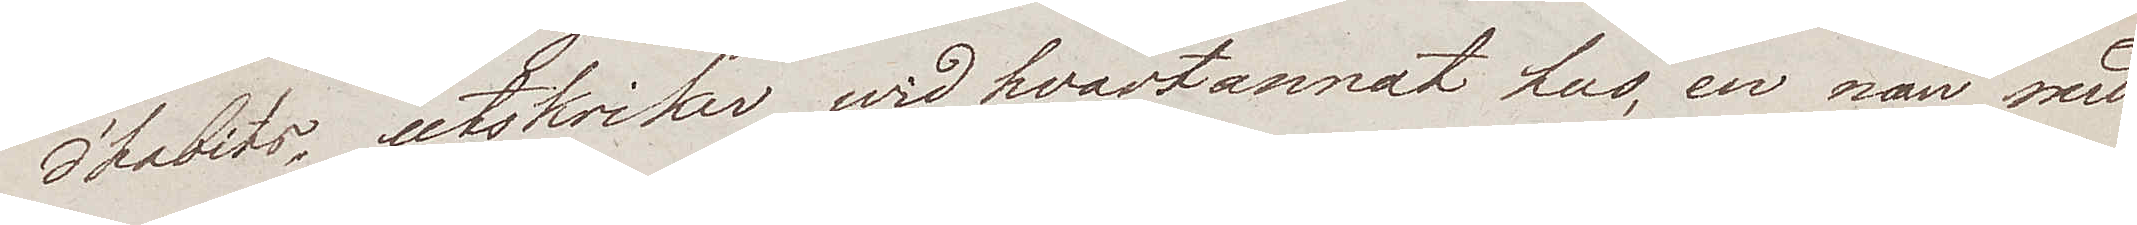d´habits, utskriker wid hvartannat hus, en man med
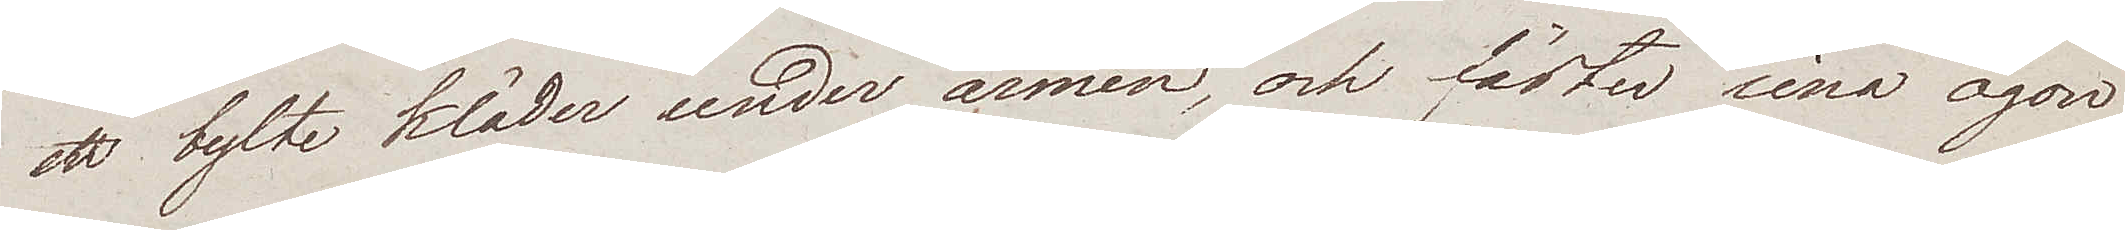ett bylte kläder under armen, och fäster sina ögon
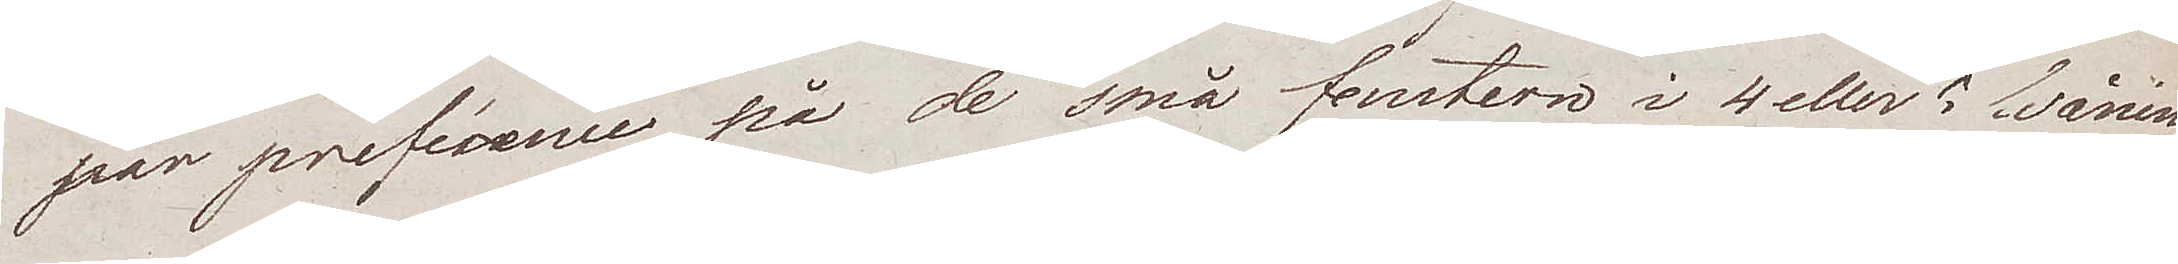par preférence på de små fenstern i 4 eller 5 våning¬
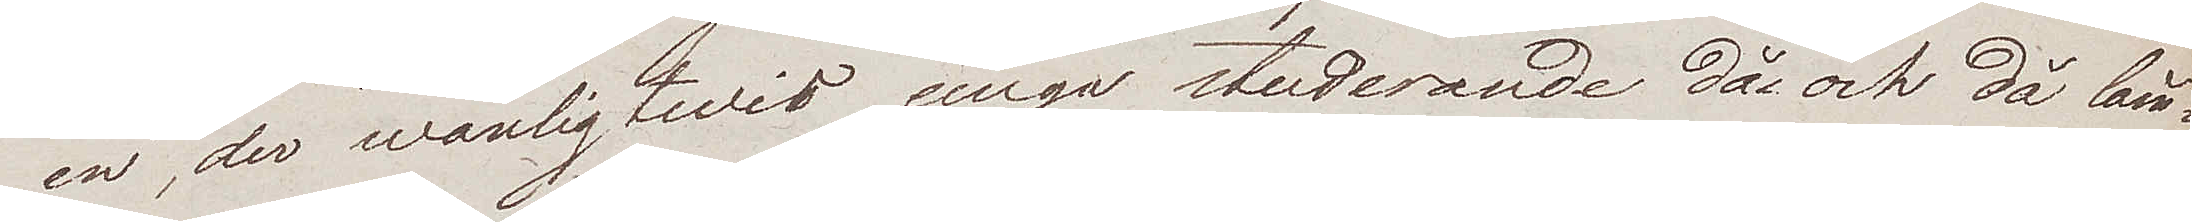en, der wanligtwis unga studerande då och då läm¬
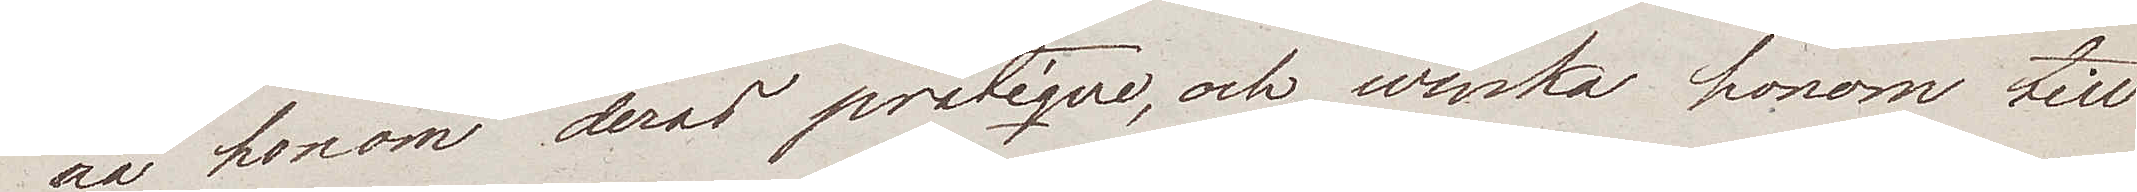na honom deras pratique, och winka honom till
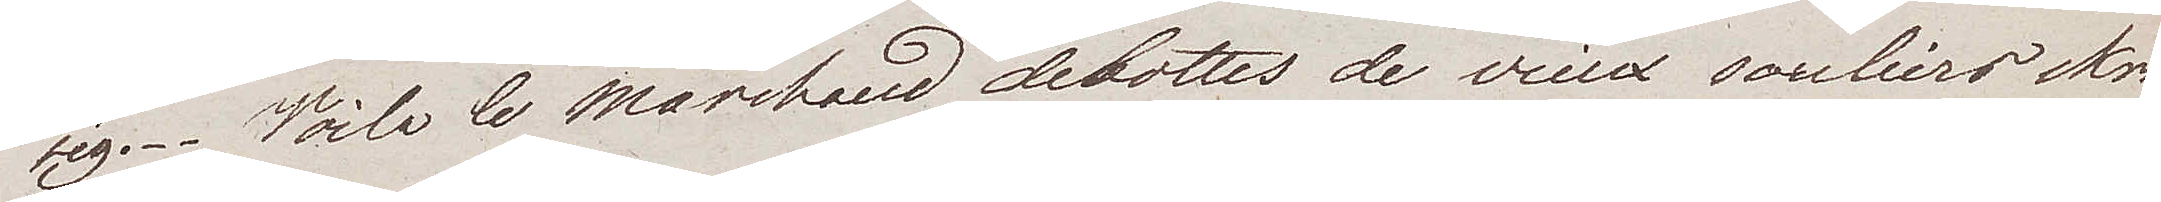sig. Voila le Marchand debottes de vieux souliers skri¬
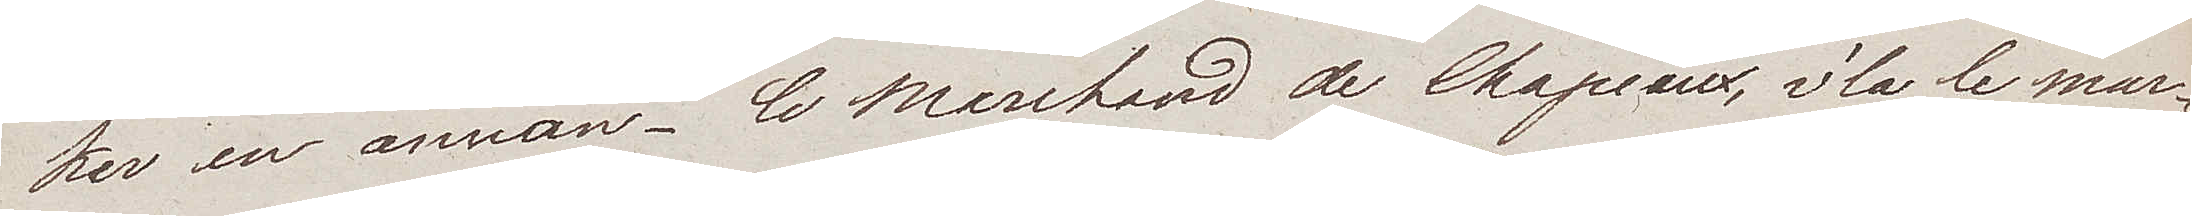ker en annan. Le Marchand de Chapéaux, v'la le mar¬
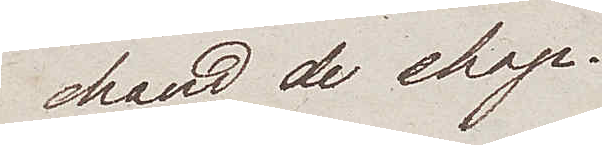chand de chap.
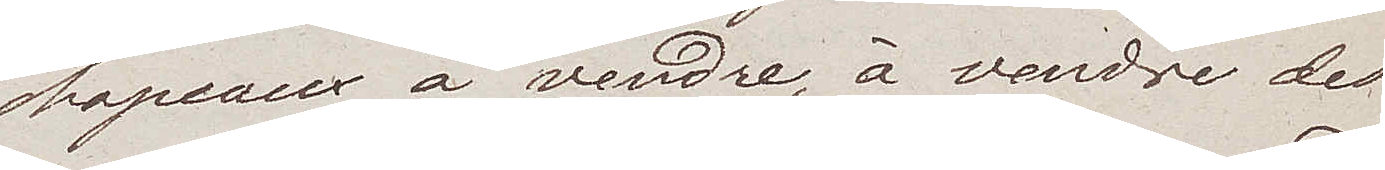Chapeaux à vendre, à vendre des
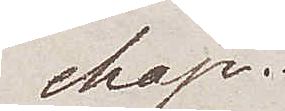chap.
